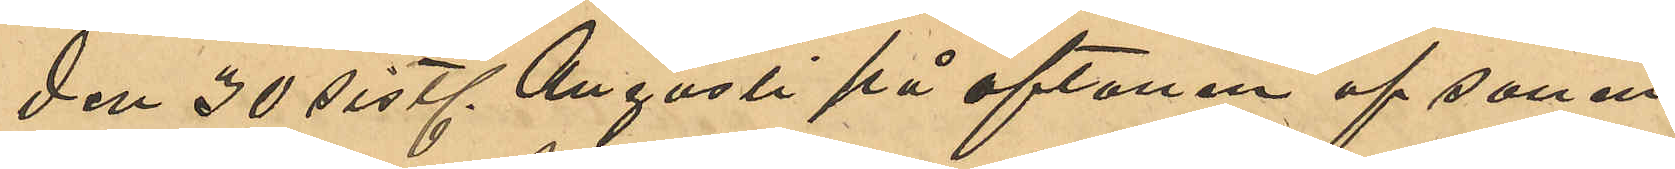den 30 sistl. Augusti på aftonen af sonen
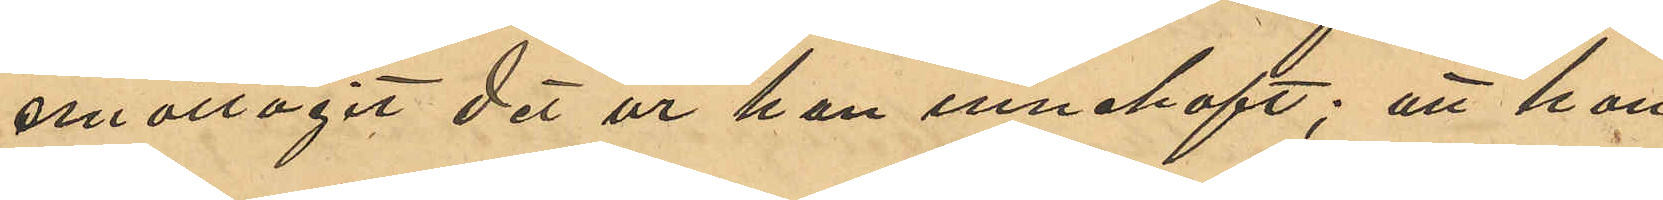emottagit det ur han innehaft; att han,
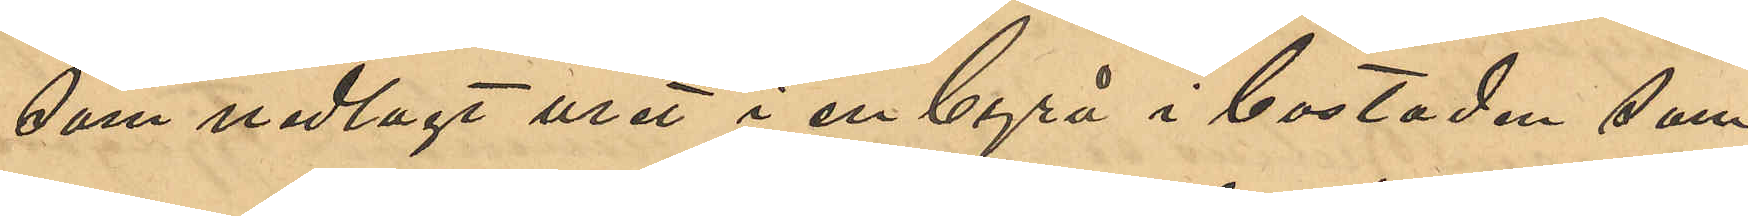som nedlagt uret i en byrå i bostaden sam¬
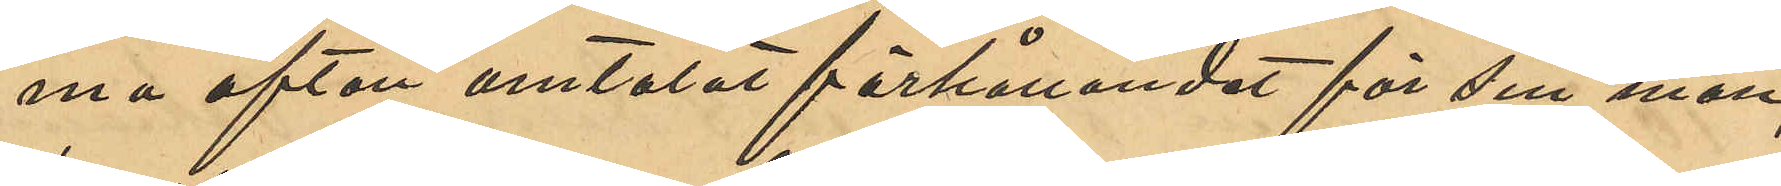ma afton omtalat förhållandet för sin man,
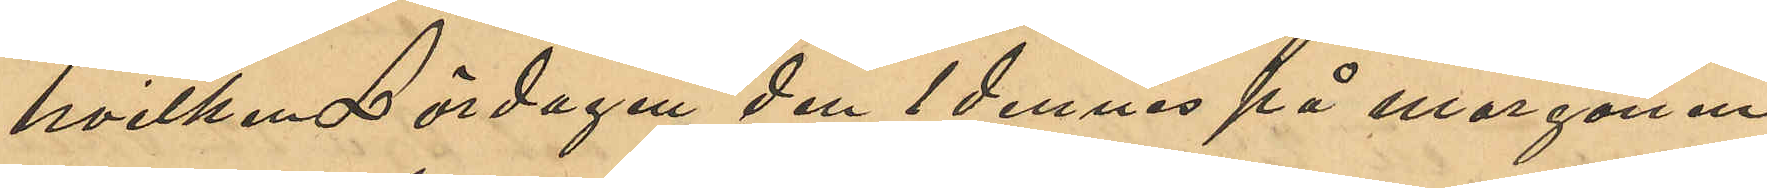hvilken Lördagen den 1 dennes på morgonen
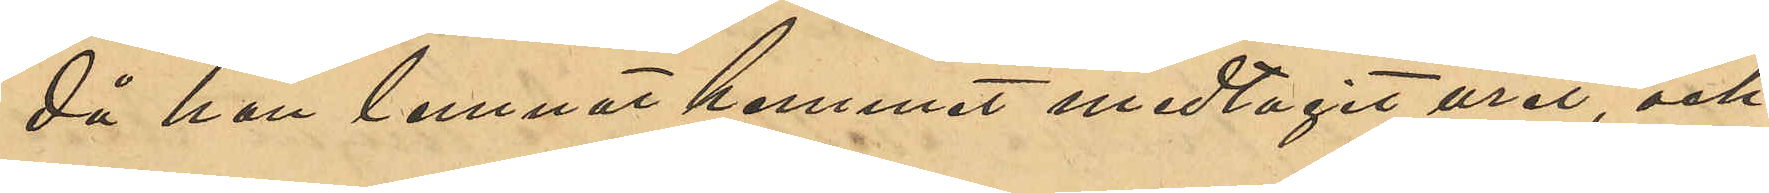då han lemnat hemmet medtagit uret, och
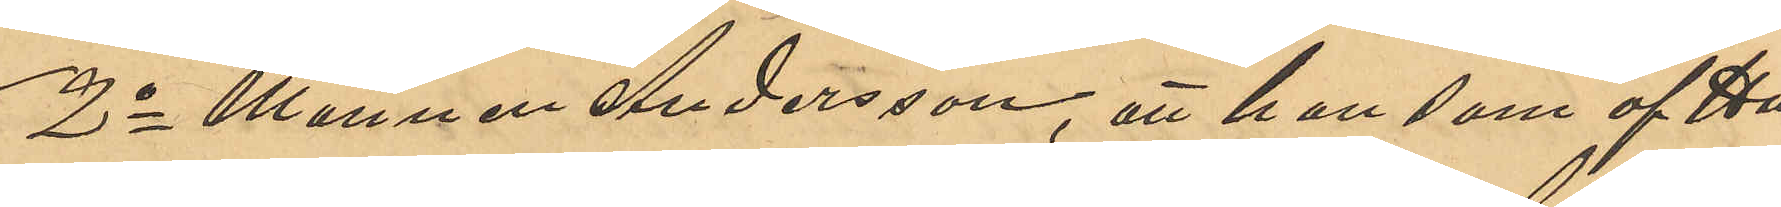2o Mannen Andersson, att han som af Hu¬
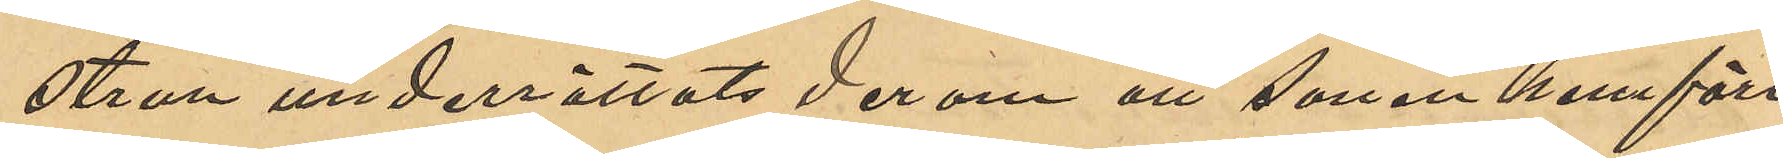strun underrättats derom att sonen hemfört
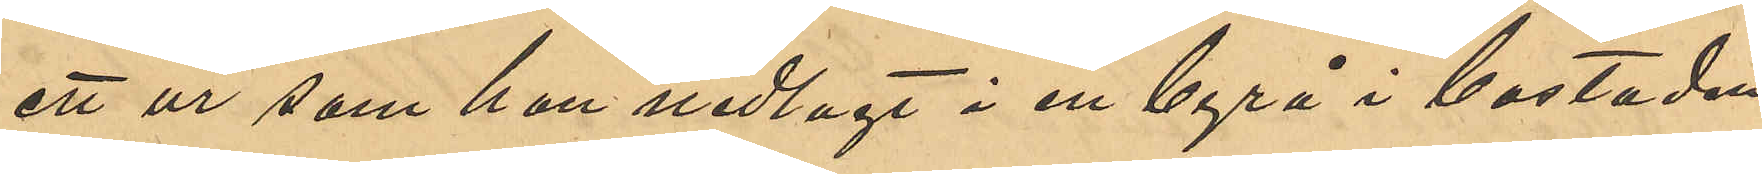ett ur som han nedlagt i en byrå i bostaden,
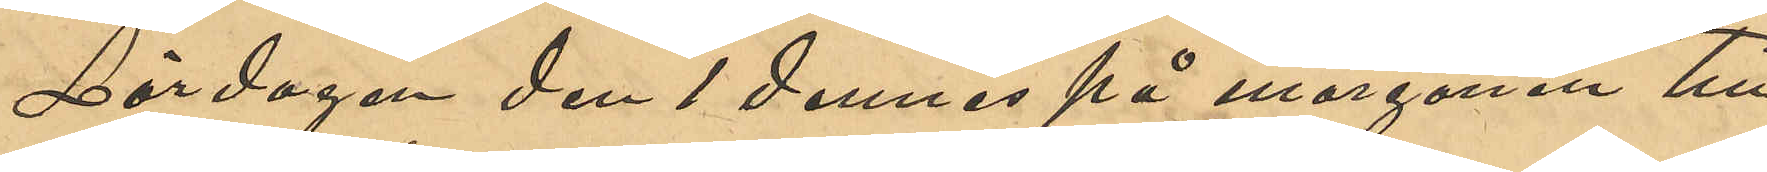Lördagen den 1 dennes på morgonen till
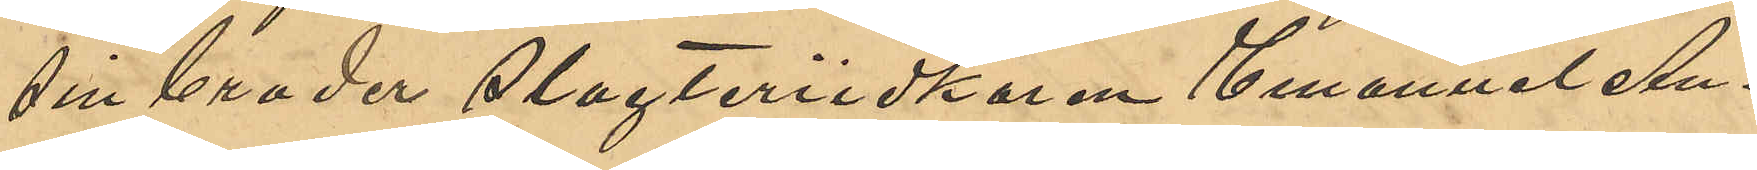sin broder Slagteriidkaren Emanuel An¬
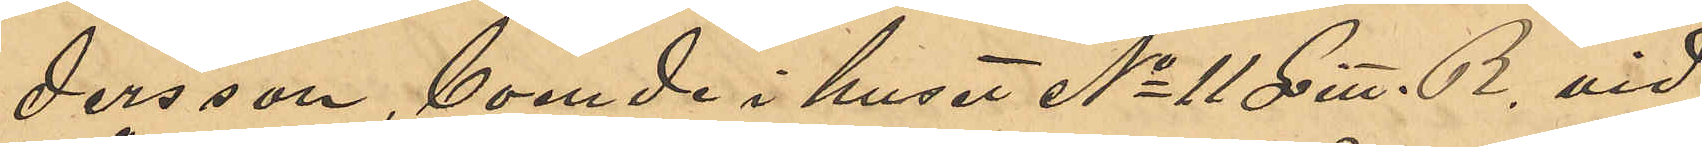dersson, boende i huset No 11 Litt. B vid
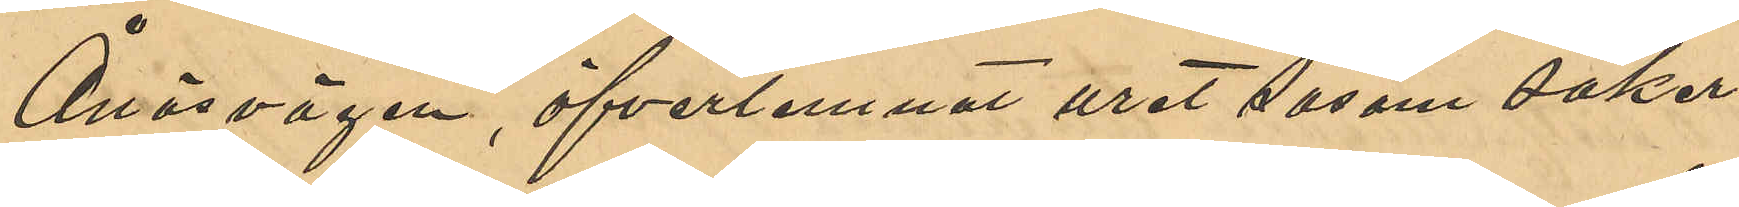Ånäsvägen, öfverlemnat uret såsom säker¬
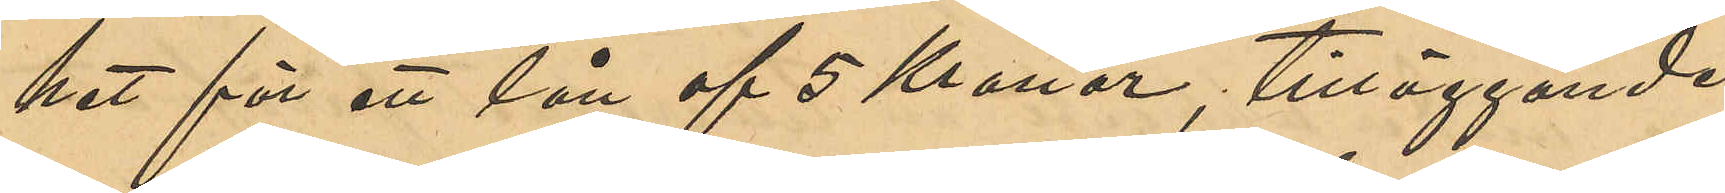het för ett lån af 5 Kronor, tilläggande
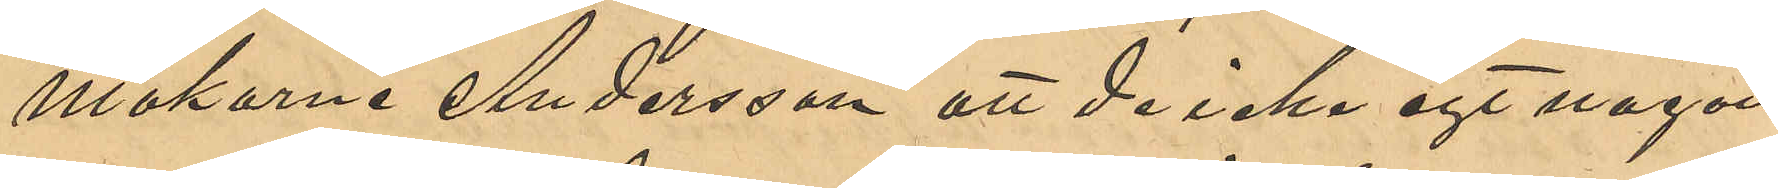makarne Andersson att de icke egt någon
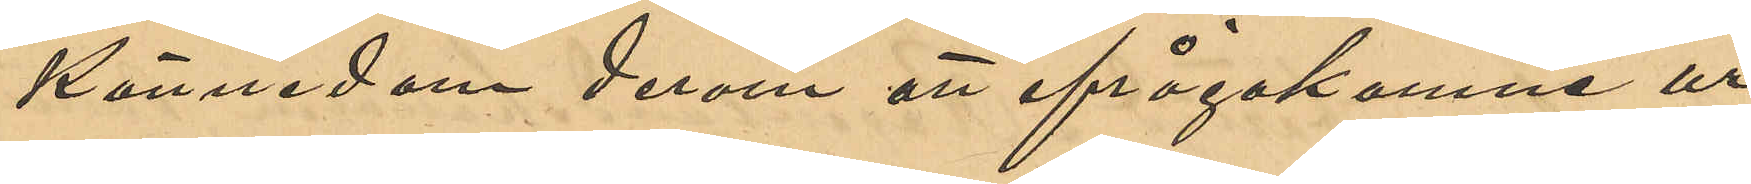kännedom derom att ifrågakomne ur
